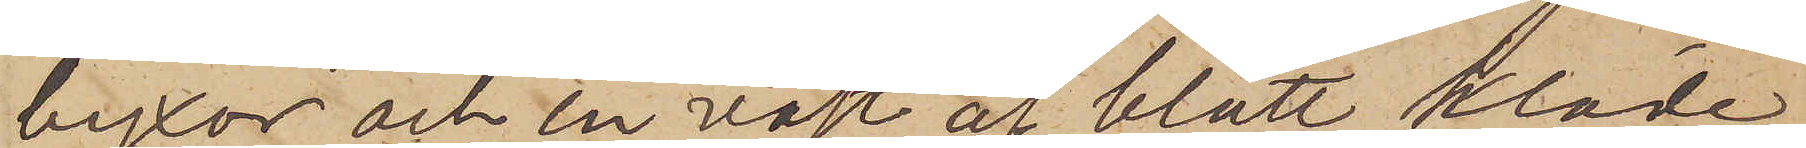byxor och en väst af blått kläde,
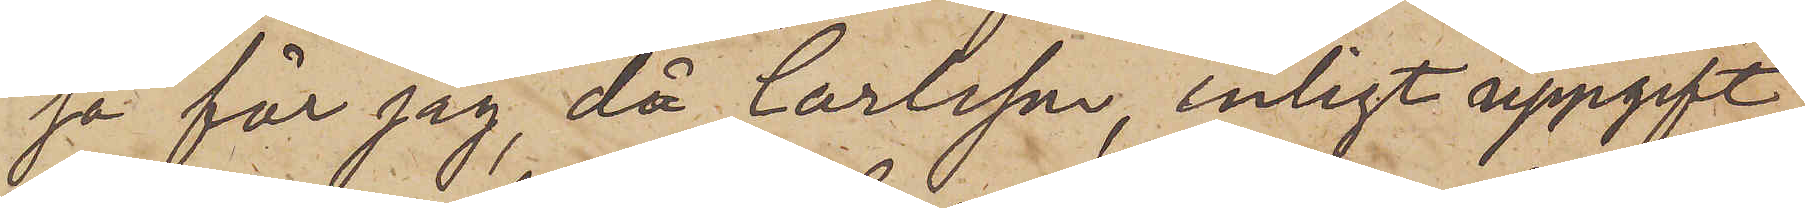så får jag, då Carlsson, enligt uppgift,
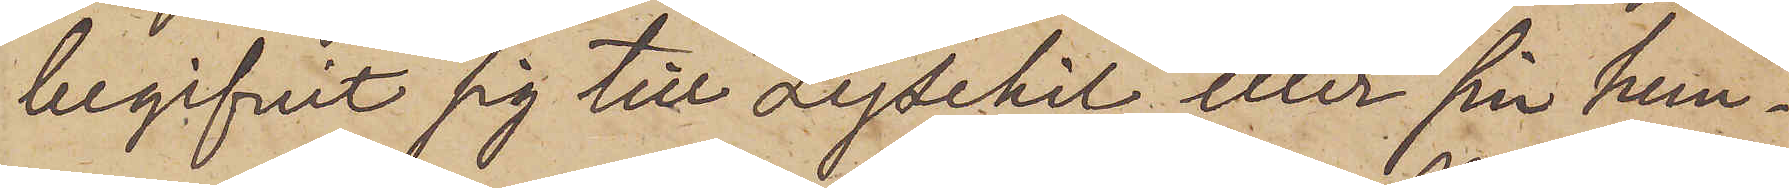begifvit sig till Lysekil eller sin hem¬
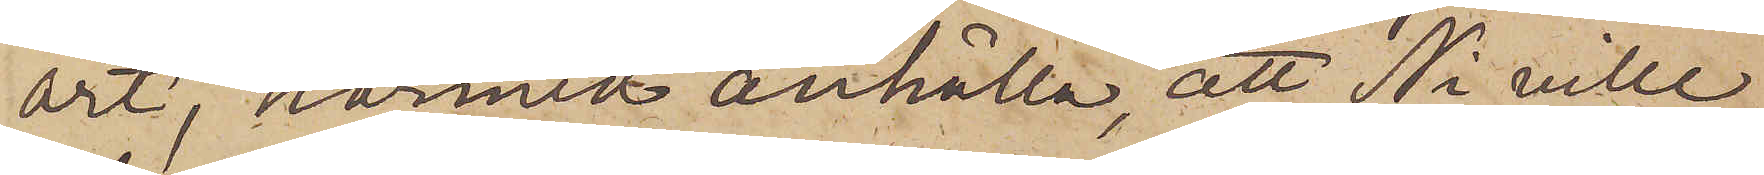ort, härmed anhålla, att Ni ville
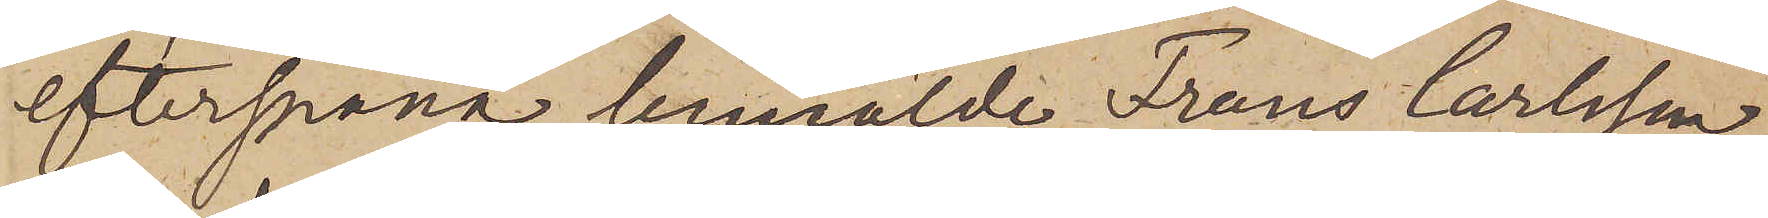efterspana bemälde Frans Carlsson
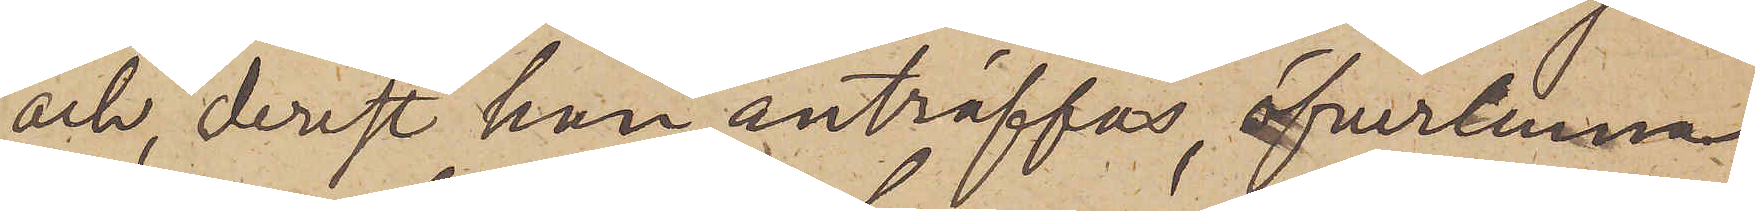och, derest han anträffas, öfverlemna
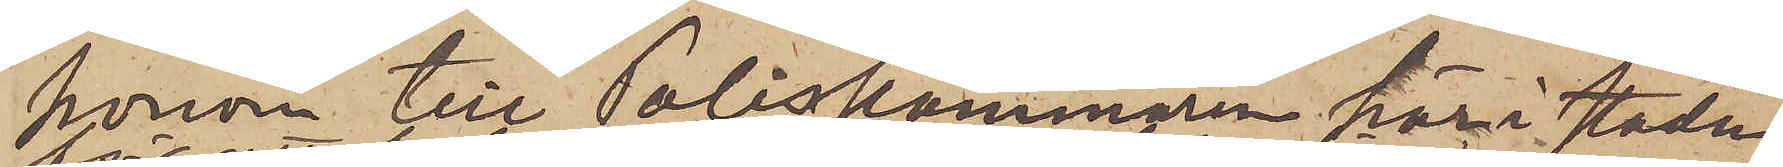honom till Poliskammaren här i staden
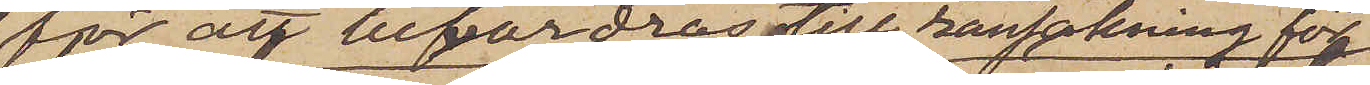för att befordras till ransakning för
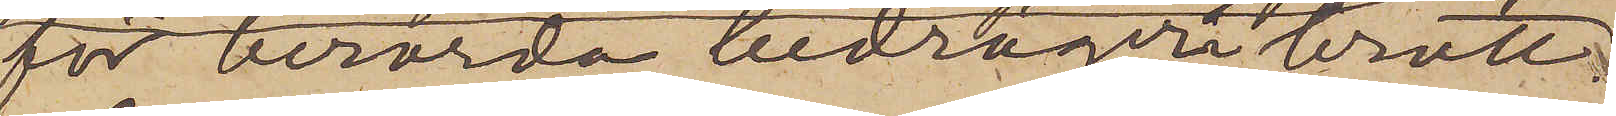för berörda bedrägeribrott;
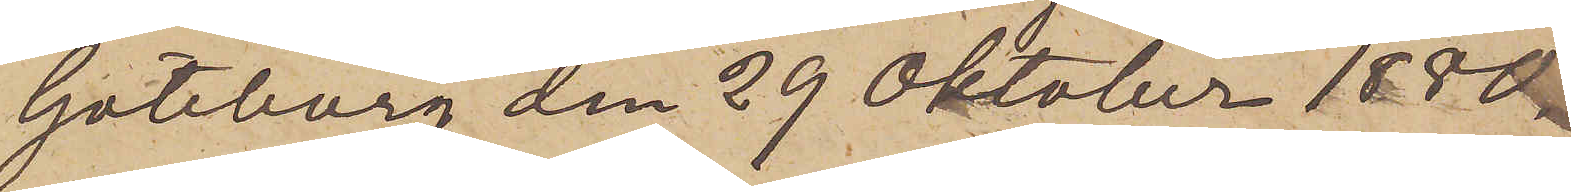Göteborg den 29 Oktober 1880.
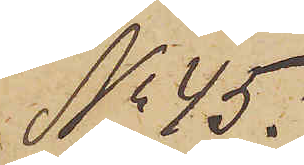No 45.
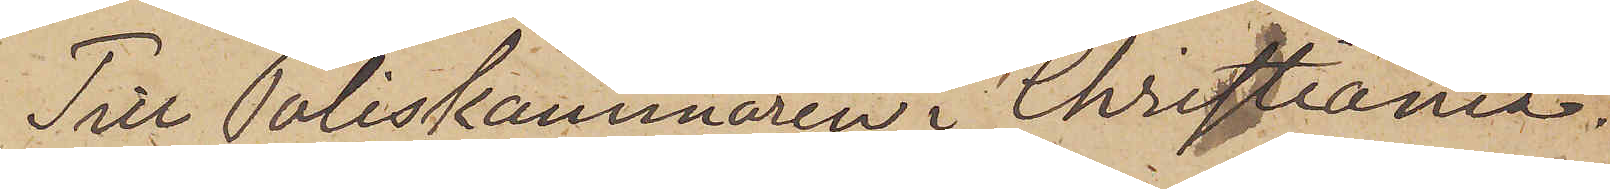Till Poliskammaren i Christiania.
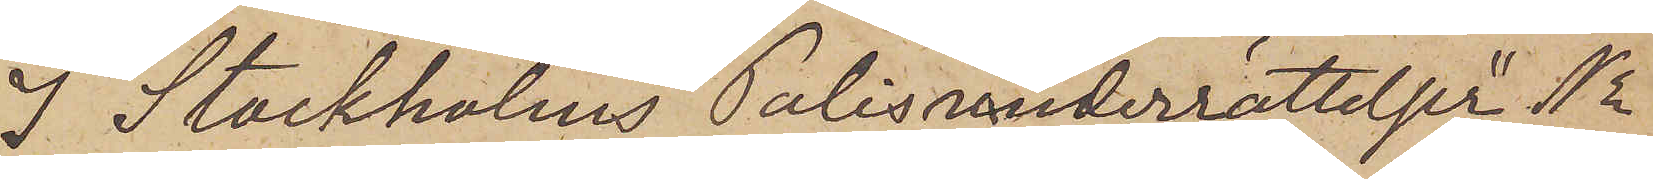I Stockholms "Polisunderrättelser" No
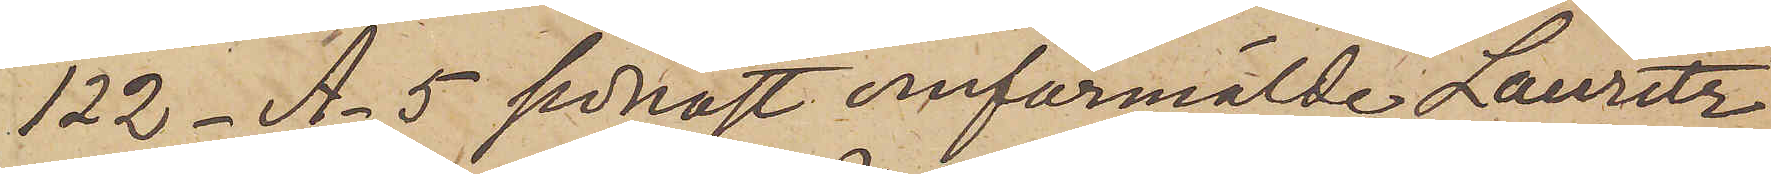122 - A -5 sednast omförmälde Lauritz
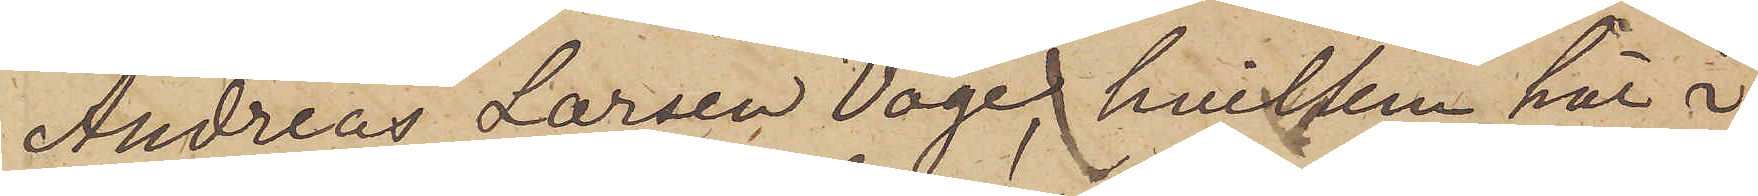Andreas Larsen Voge, hvilken här i
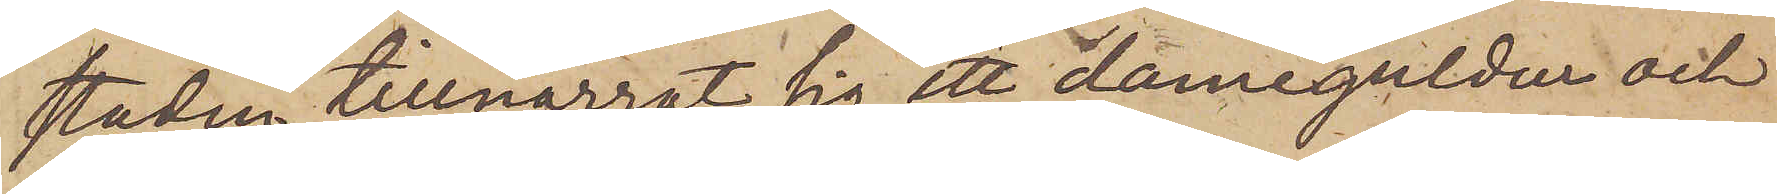staden tillnarrat sig ett dameguldur och
